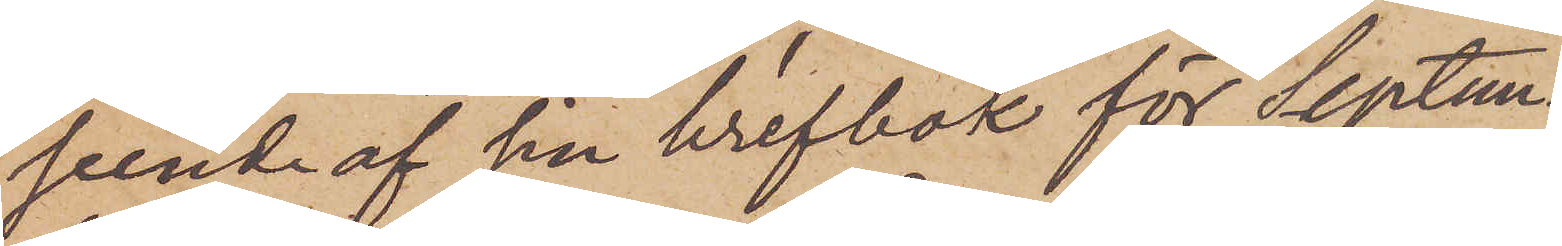seende af sin brefbok för Septem¬
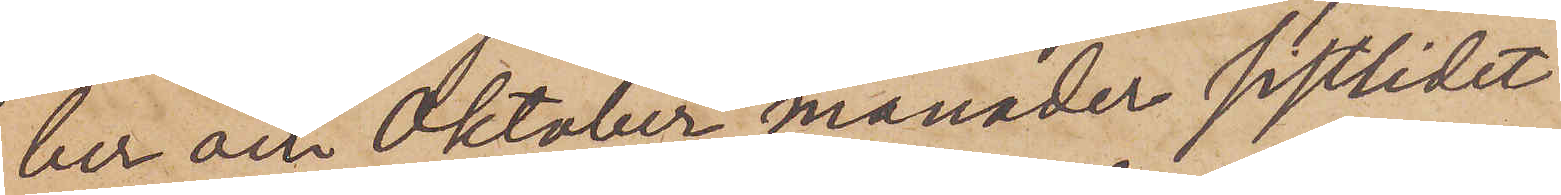ber och Oktober månader sistlidet
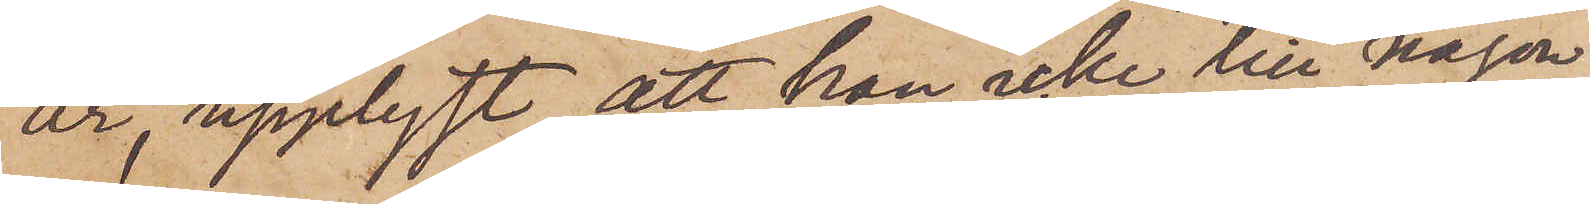år, upplyst, att han icke till någon
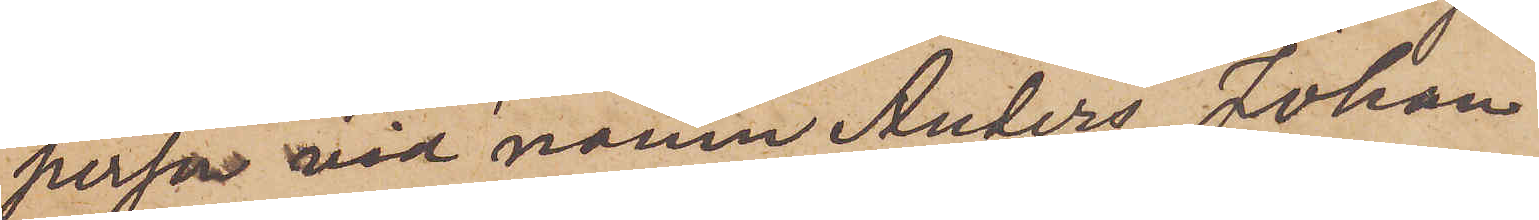person vid namn Anders Johan
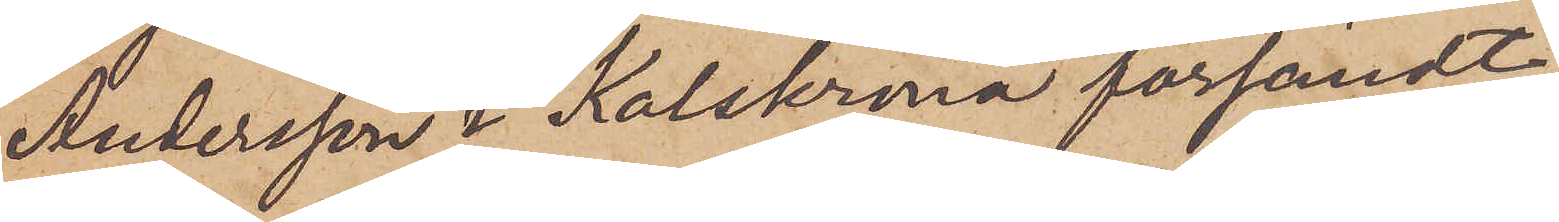Andersson i Kalskrona försändt
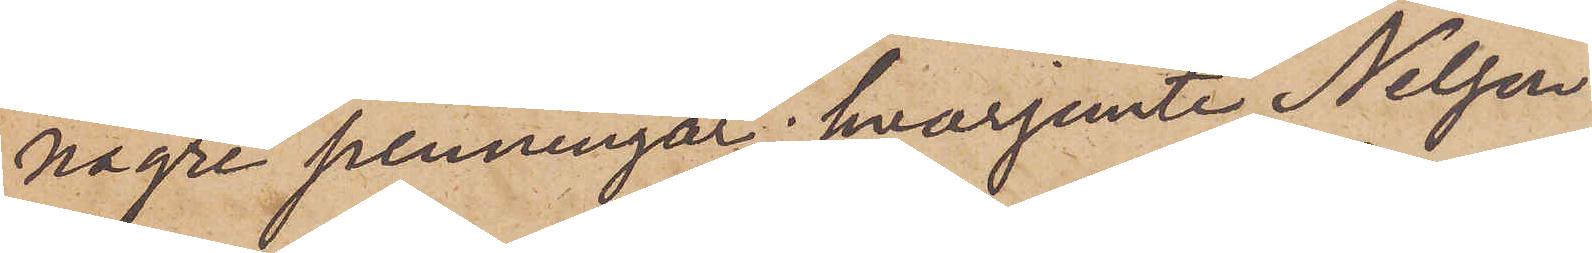några penningar; hvarjemte Nelson
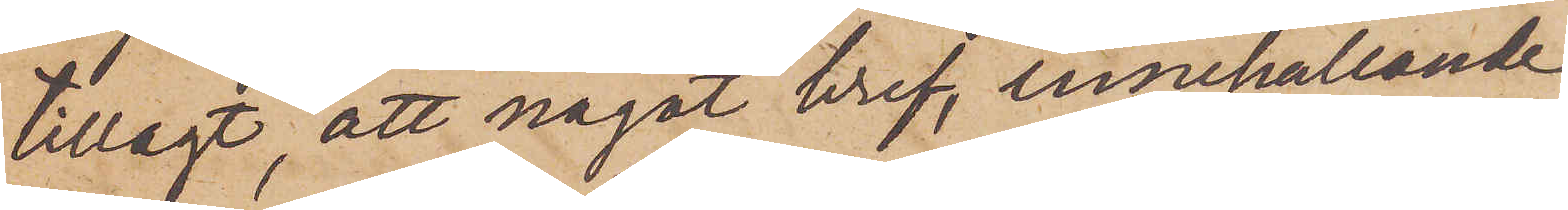tillagt, att något bref, innehållande
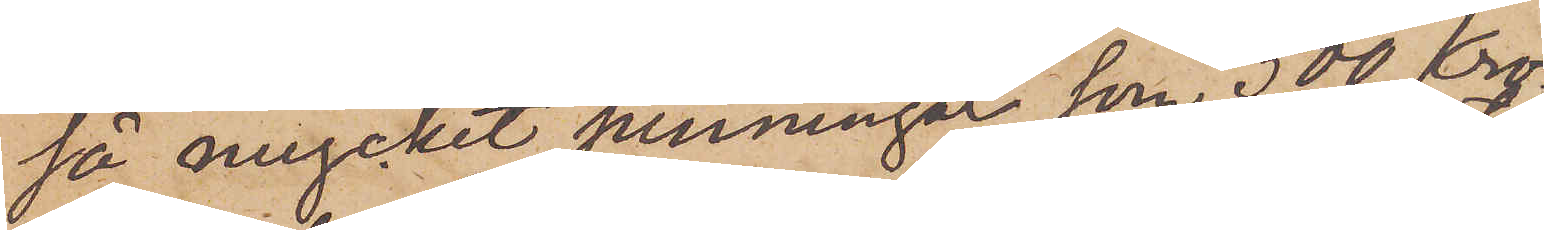så mycket penningar, som 500 Kro¬
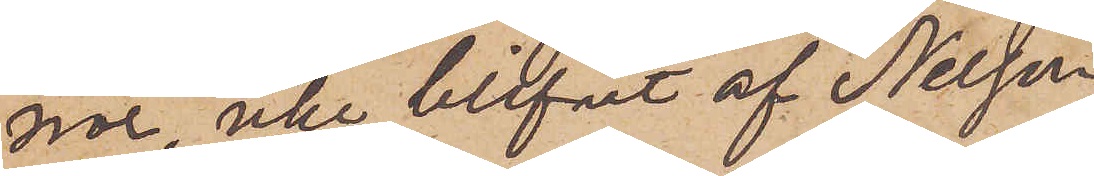nor, icke blifvit af Nelson
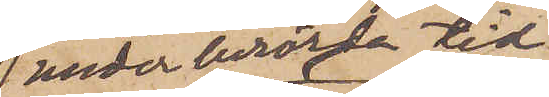 under berörda tid
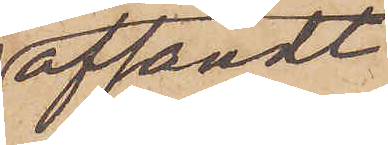afsändt
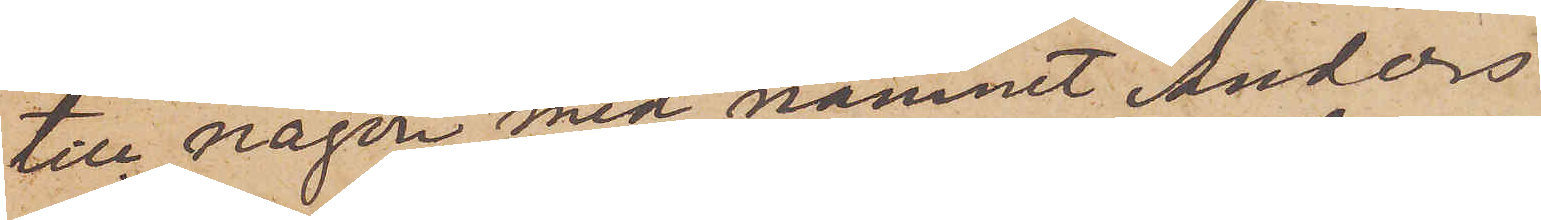till någon med namnet Anders
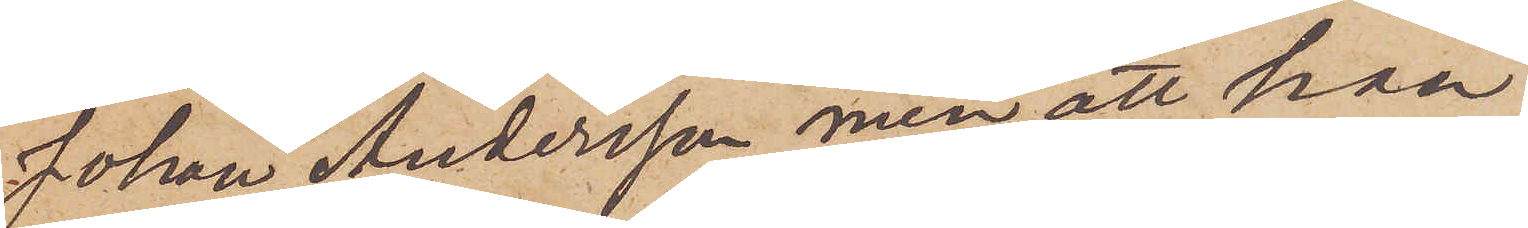Johan Andersson, men att han
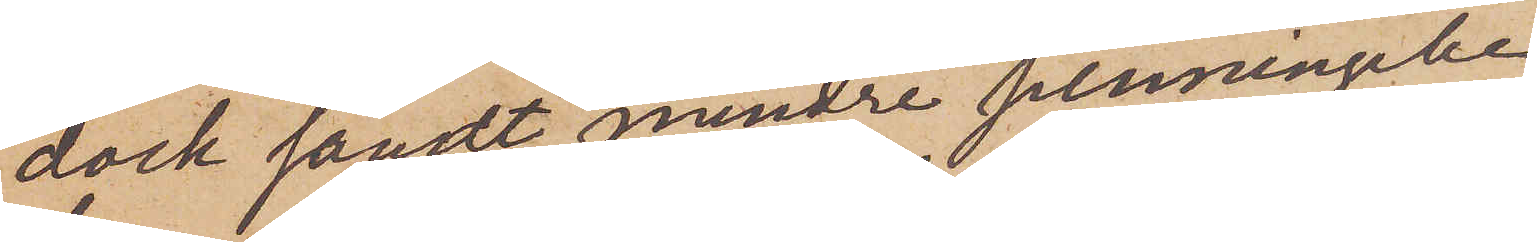dock sändt mindre penningebe¬
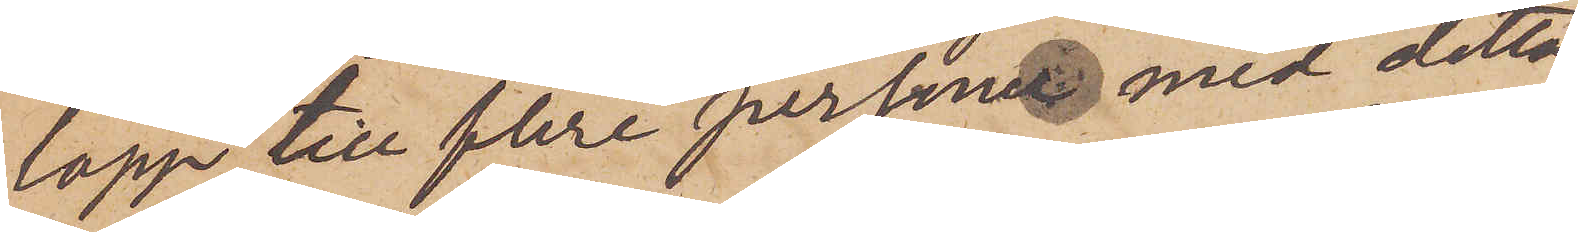lopp till flere personer med detta
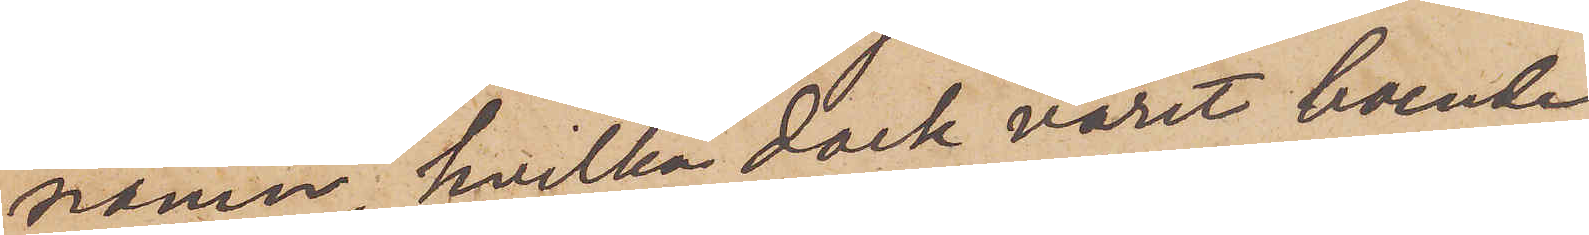namn, hvilka dock varit boende
